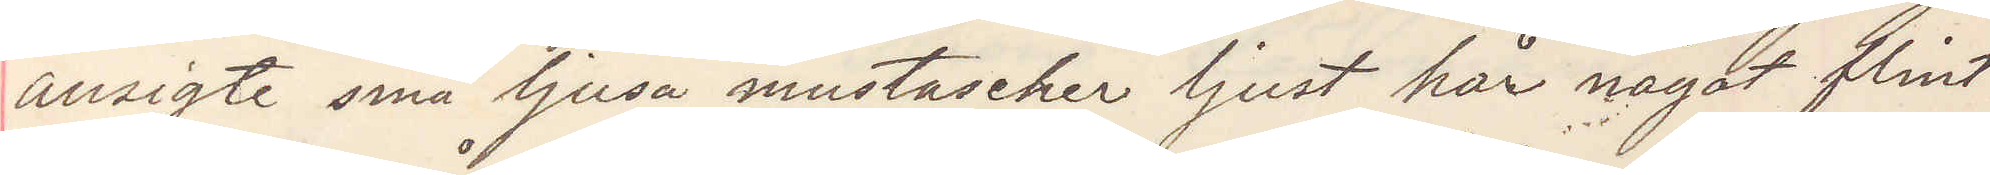ansigte små ljusa mustascher ljust hår något flint¬
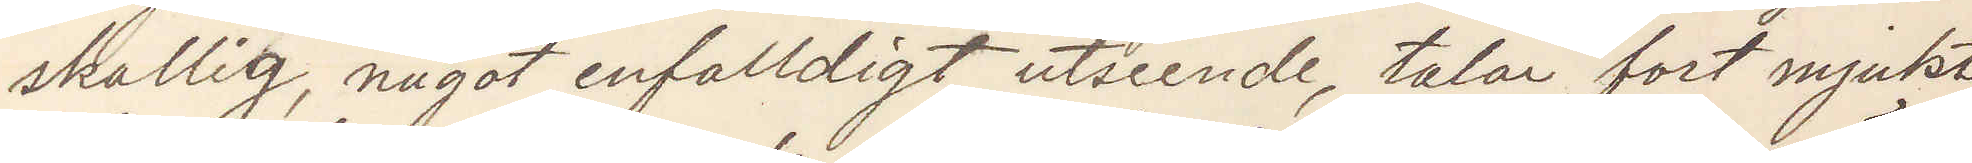skallig, något enfaldigt utseende, talar fort mjukt
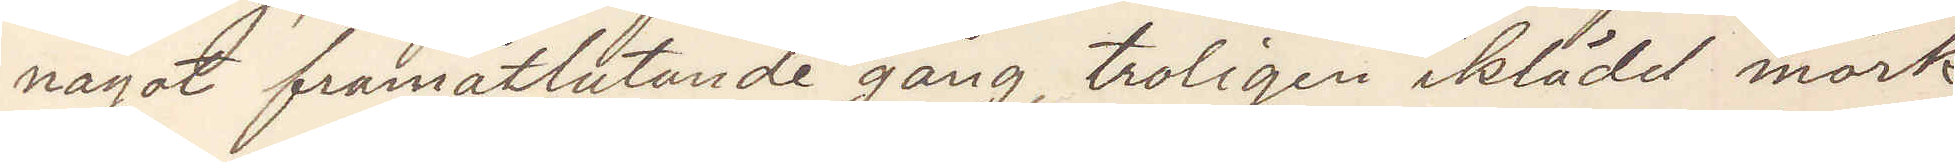något framåtlutande gång, troligen iklädd mörk
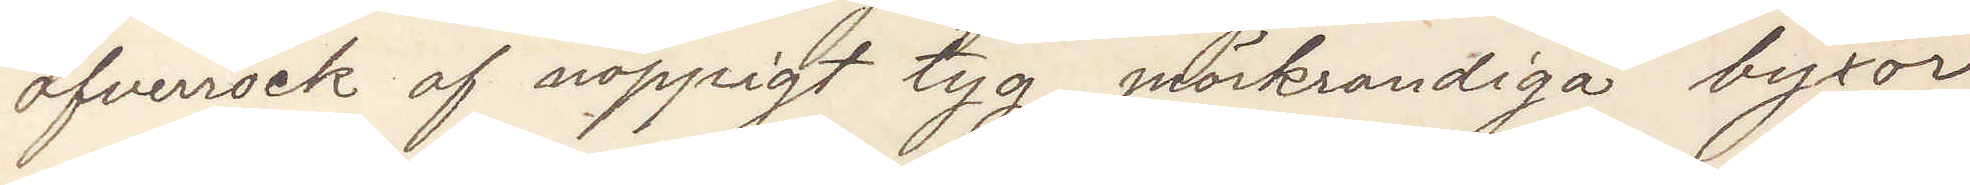öfverrock af noppigt tyg, mörkrandiga byxor
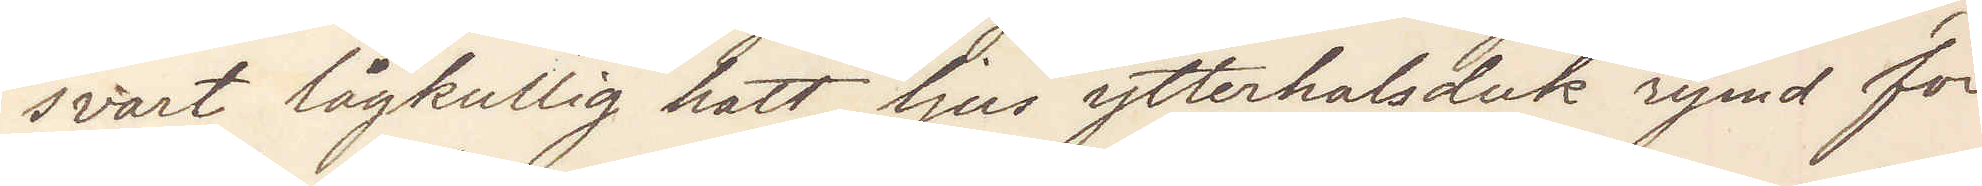svart lågkullig hatt ljus ytterhalsduk rymd för
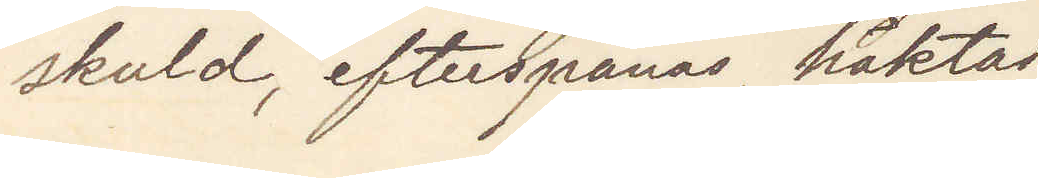skuld, efterspanas, häktas.
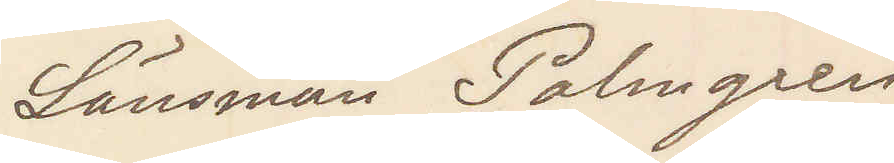Länsman Palmgren
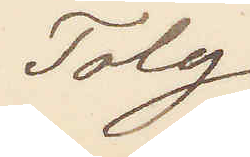Tolg
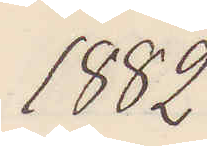1882
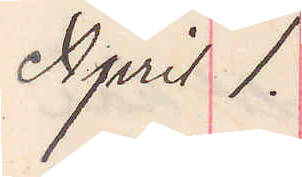April 1.
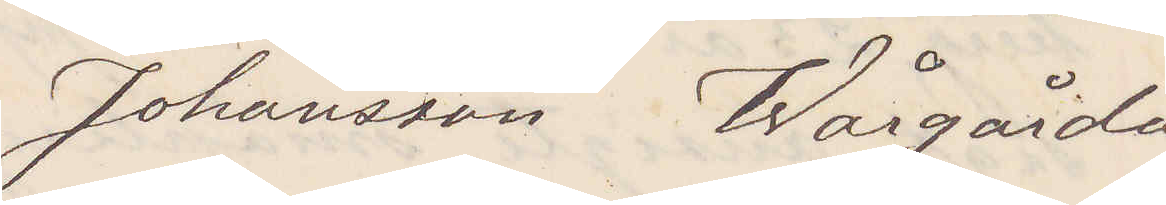Johansson Wårgårda
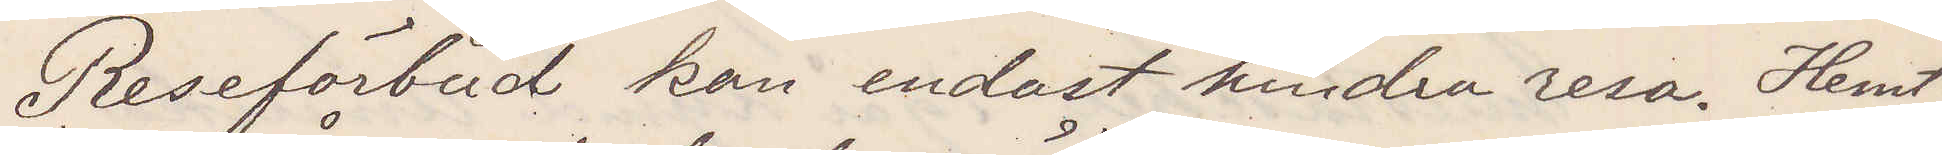Reseförbud kan endast hindra resa. Hemt¬
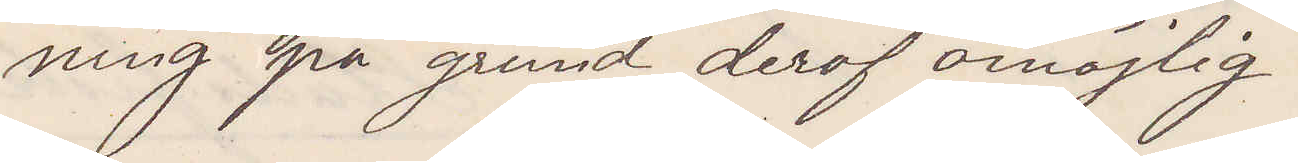ning på grund deraf omöjlig.
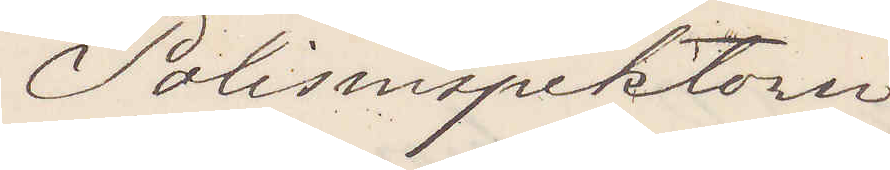Polisinspektorn
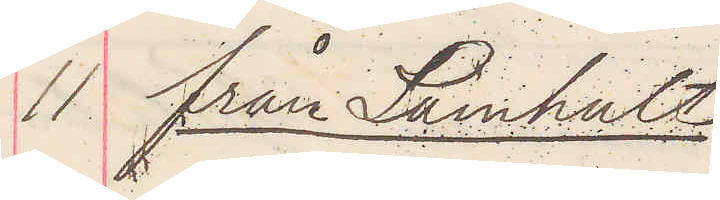11 från Lamhult
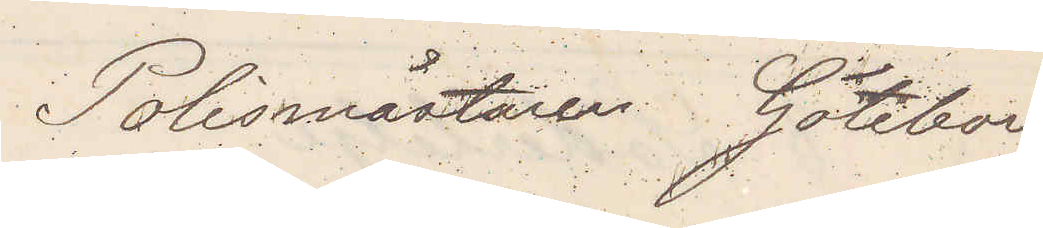Polismästaren Göteborg
